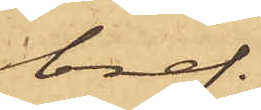bref.
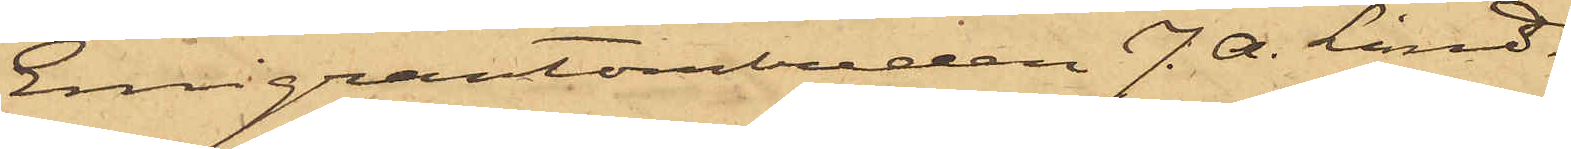Emigrantombuden J. A. Lind¬
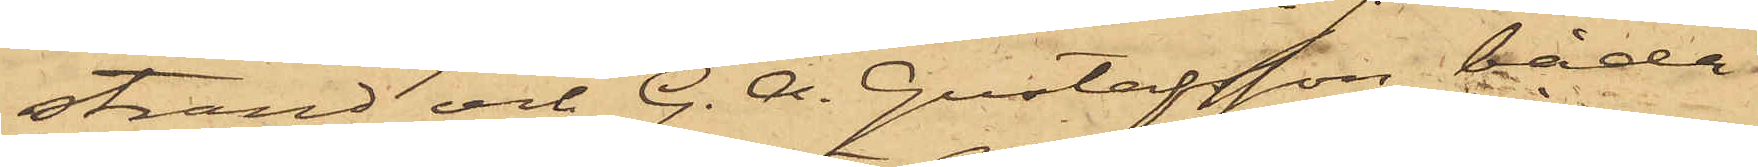strand och G. A. Gustafsson, båda
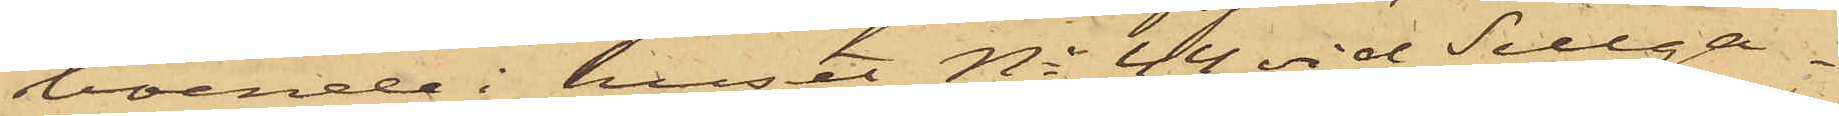boende i huset No 44 vid Sillga¬
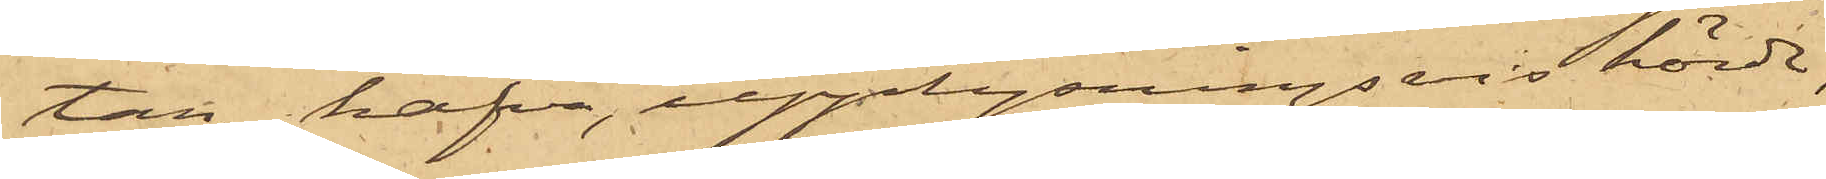tan, hafva, upplysningsvis hörde,
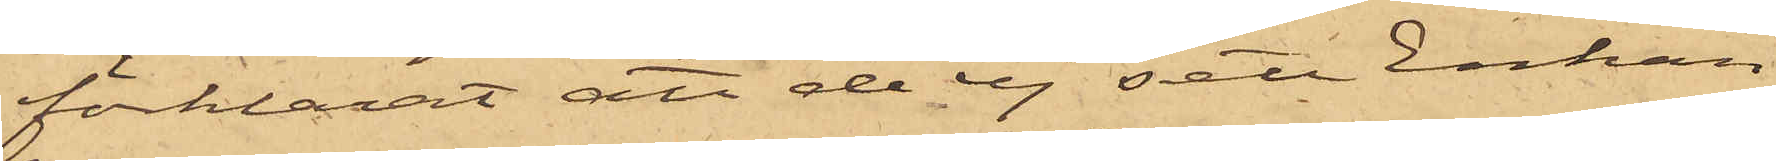förklarat att de ej sett Enkan
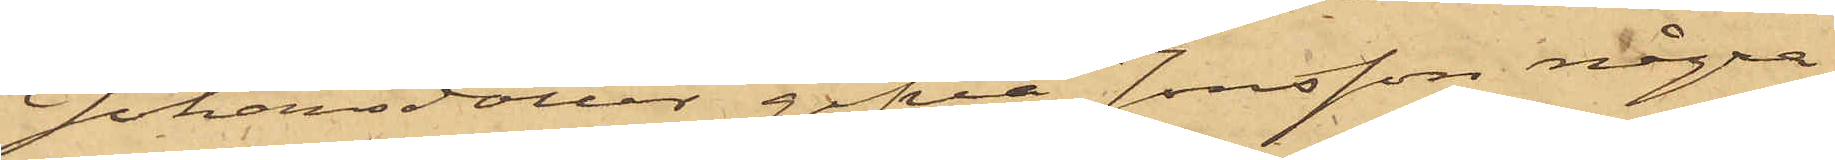Johansdotter gifva Jonsson några
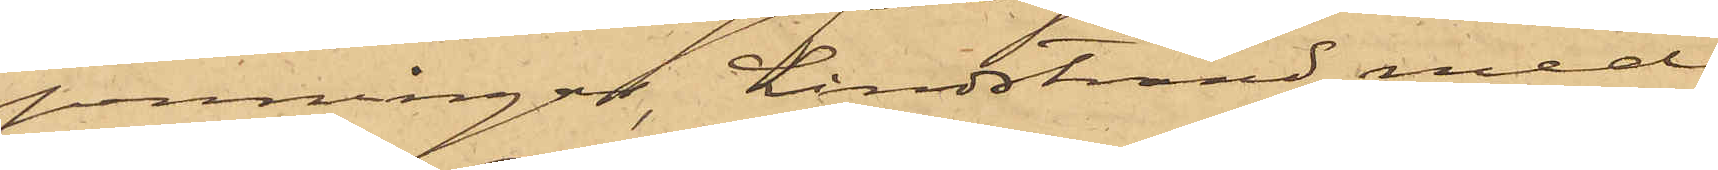penningar, Lindstrand med
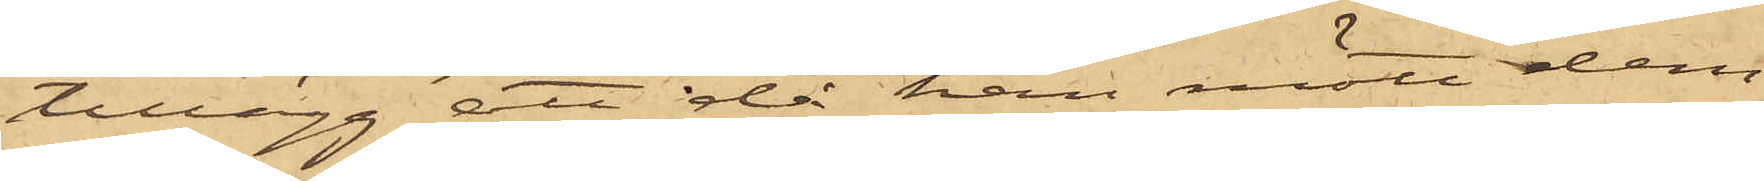tillägg, att då han mött dem
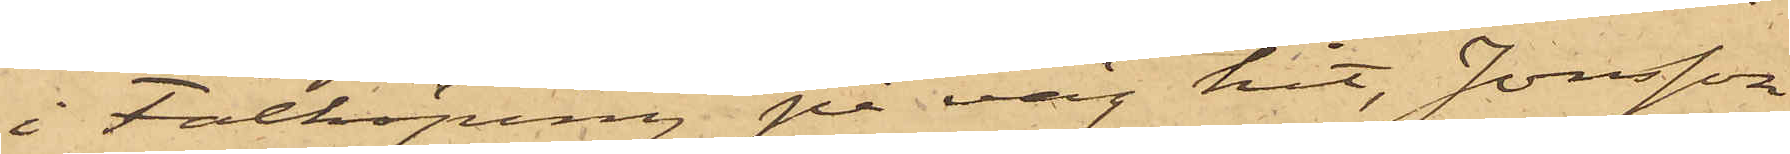i Falköping på väg hit, Jonsson
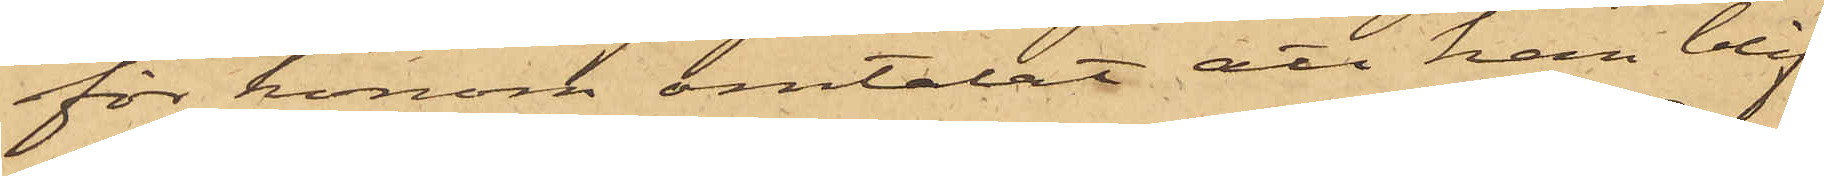för honom omtalat att han blif¬
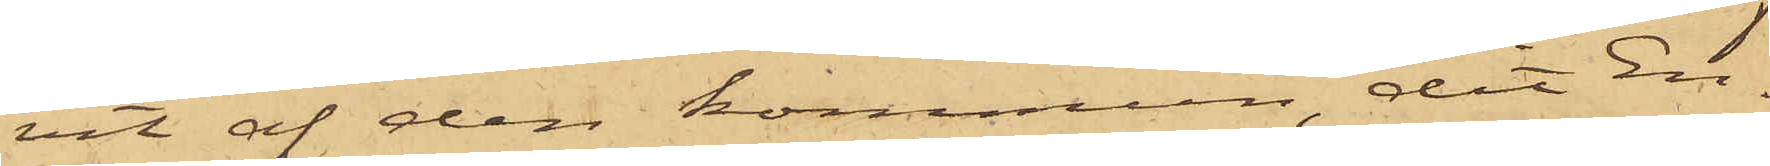vit af den kommun, dit En¬
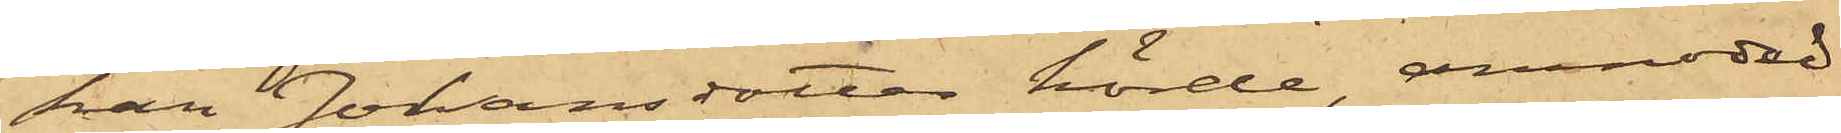kan Johansdotter hörde, anmodad
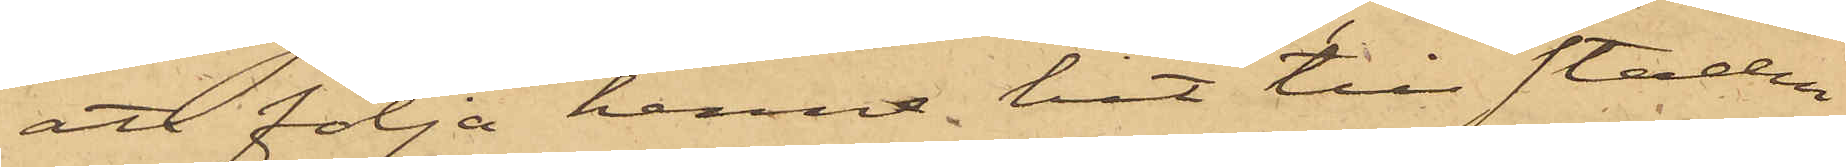att följa henne hit till staden
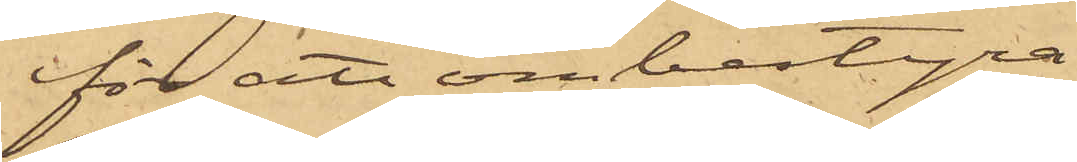för att ombestyra
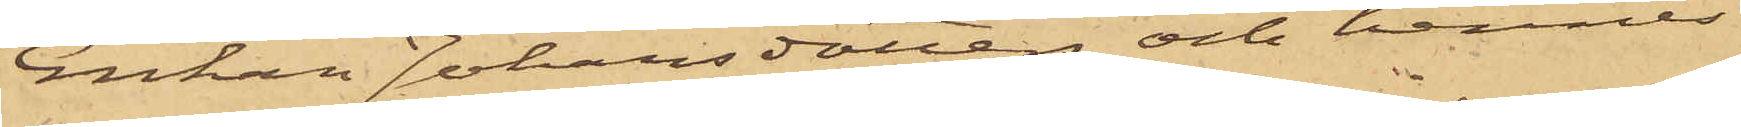Enkan Johansdotter och hennes
